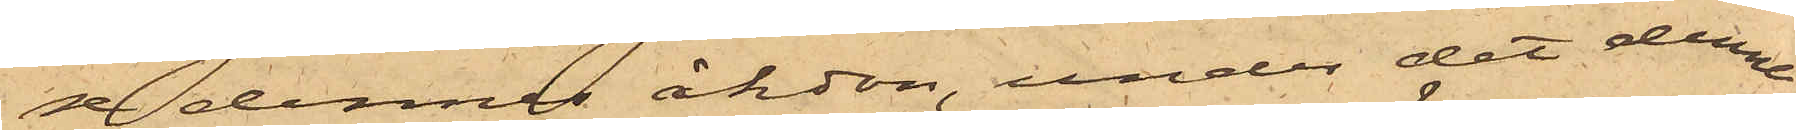se dennes åkdon, under det denne
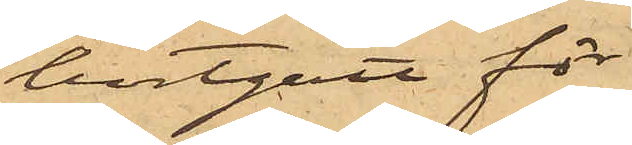bortgått för
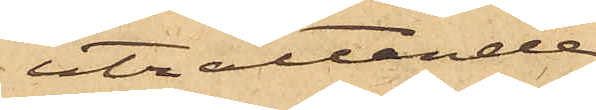uträttande
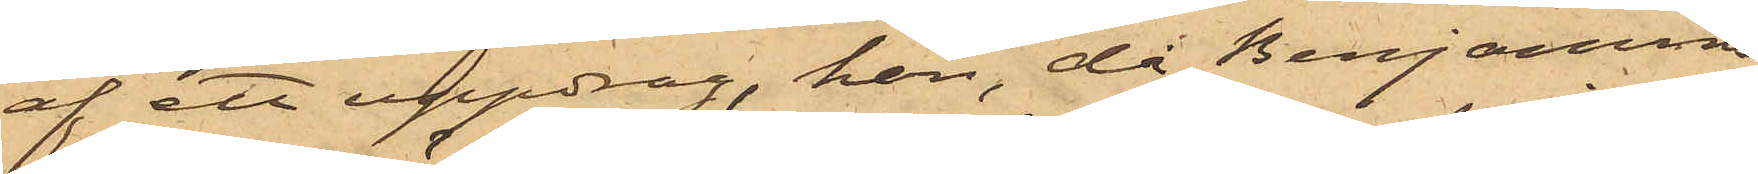af ett uppdrag, han, då Benjamins¬
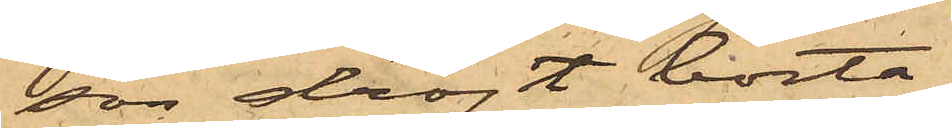son dröjt borta
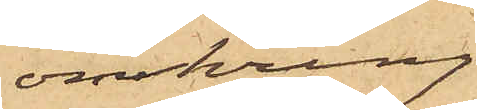omkring
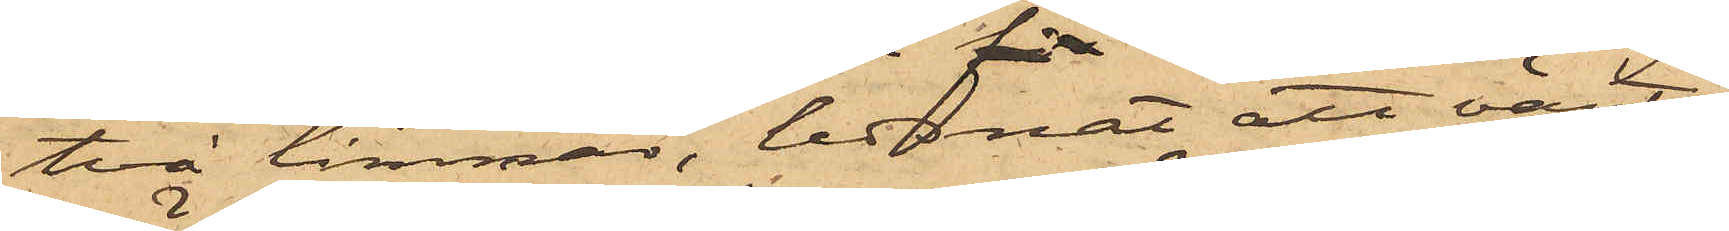två timmar, ledsnat att vänta
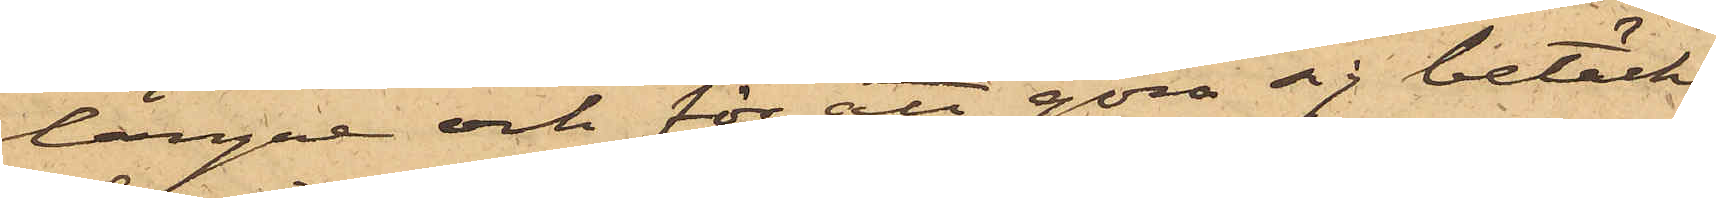längre och för att göra sig betäckt
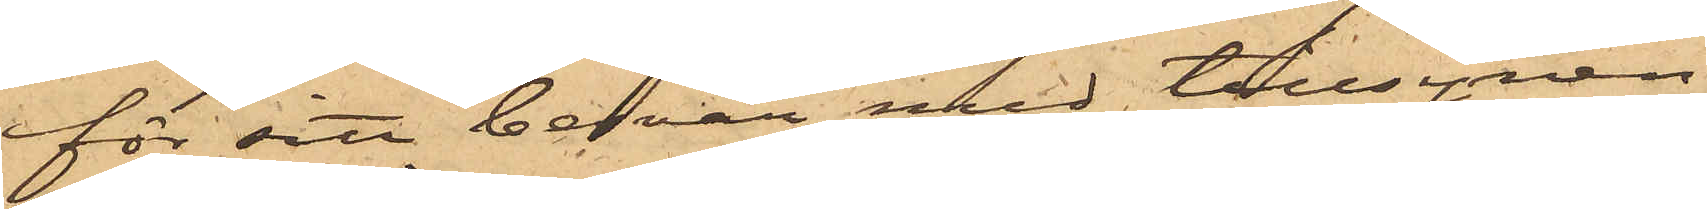för sitt besvär med tillsynen
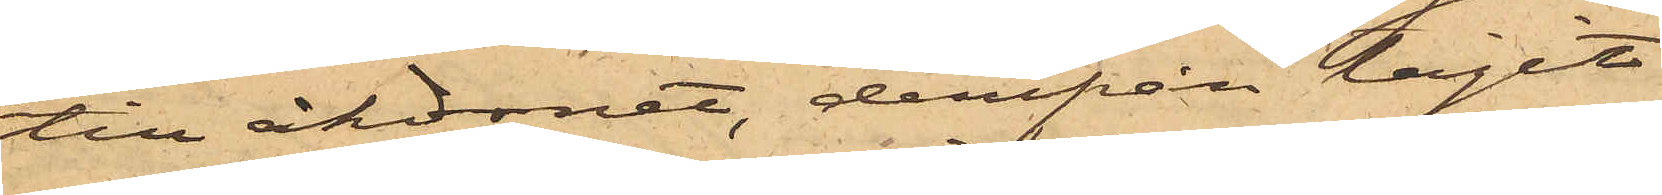till åkdonet, derifrån tagit
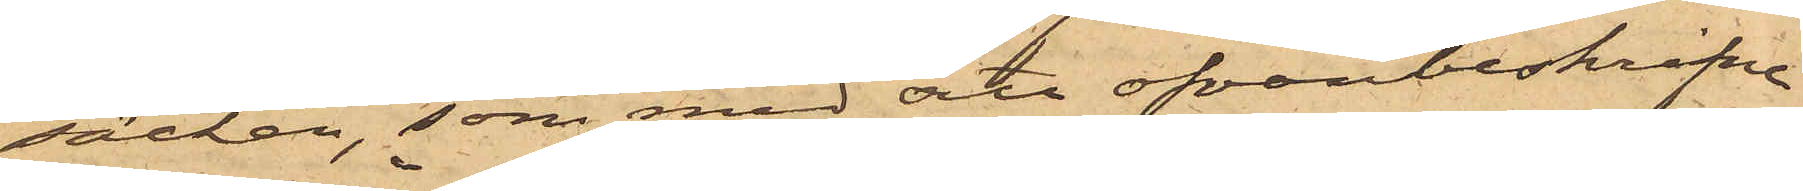säcken, som med sitt ofvanbeskrifne
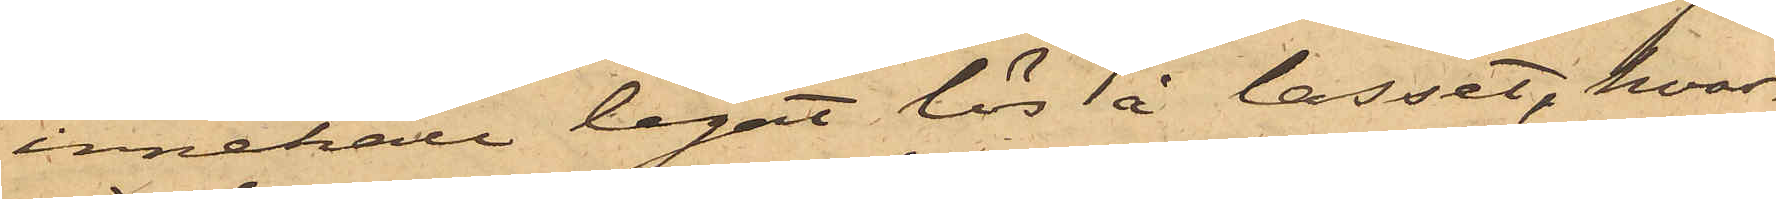innehåll legat lös å lasset, hvar¬
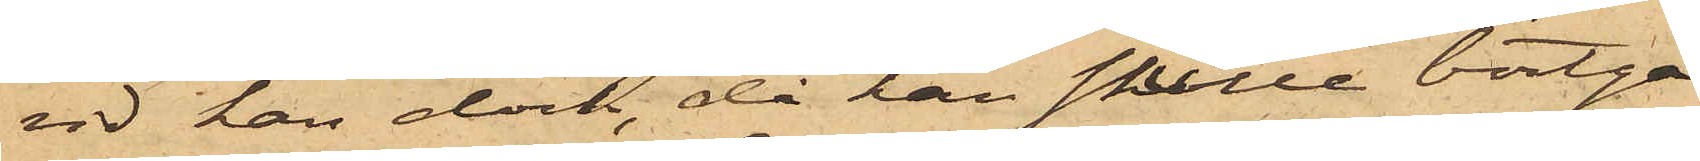vid han dock, då han skulle bortgå
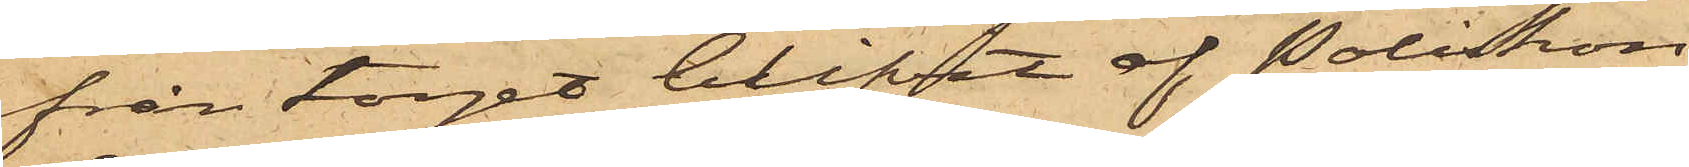från torget blifvit af Poliskon¬
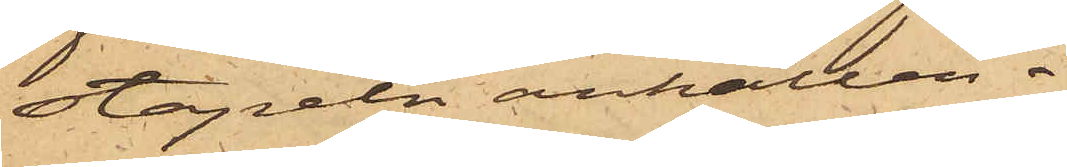stapeln anhållen.
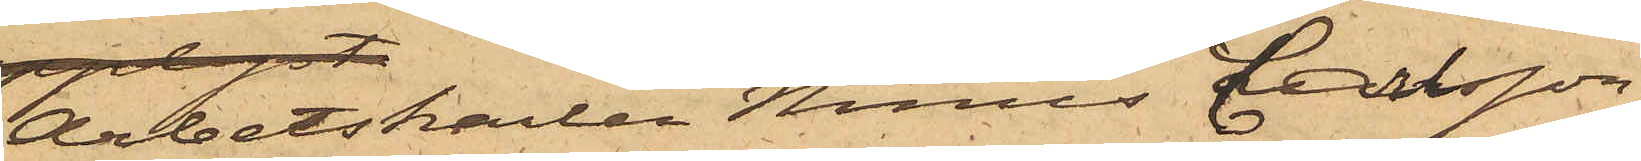Arbetskarlen Nimes Carlsson,
